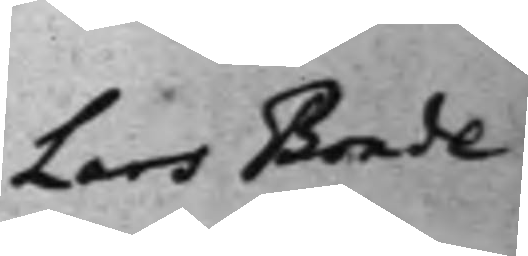Lars Bonde
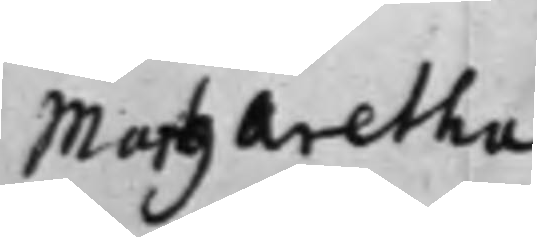Margaretha
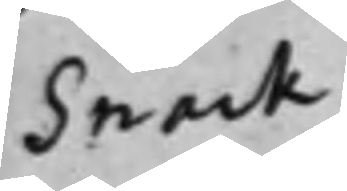Snack
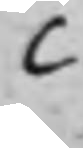C
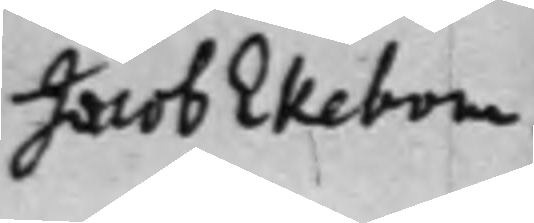Jacob Ekebom.
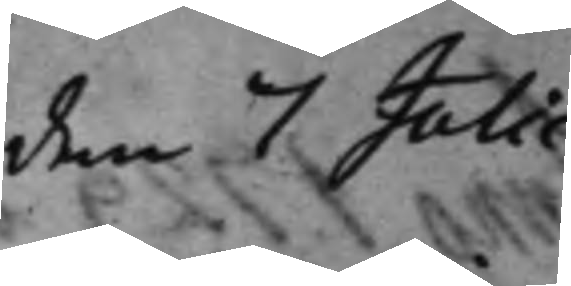den 7 Julii
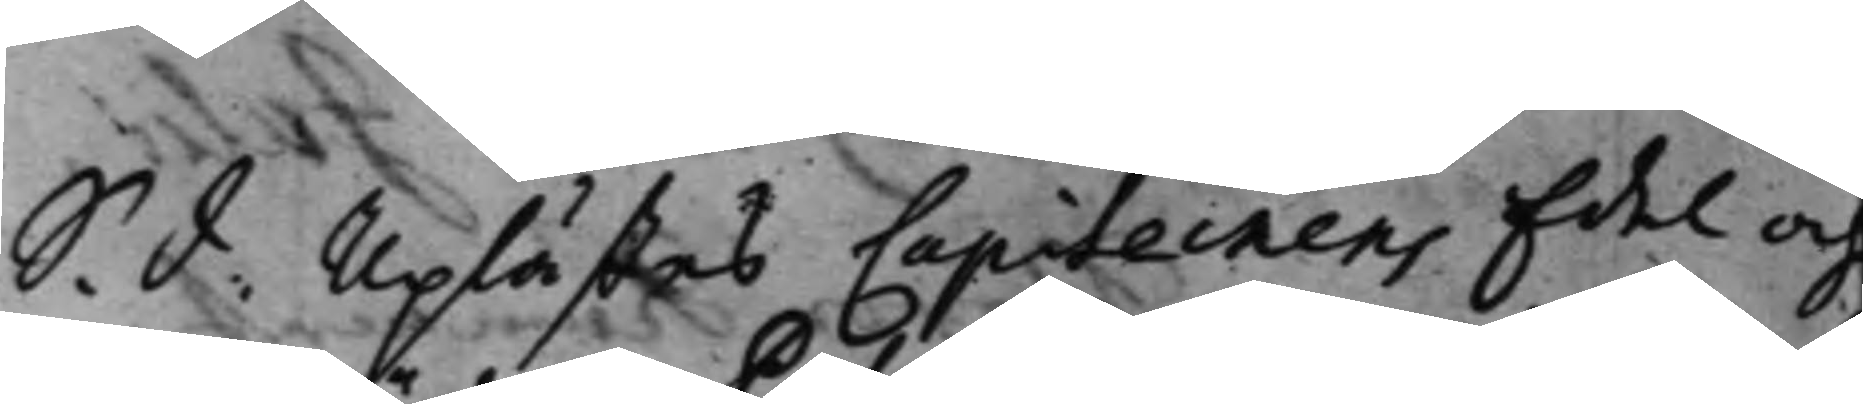S. d: Uplästes Capiteinens Edel och
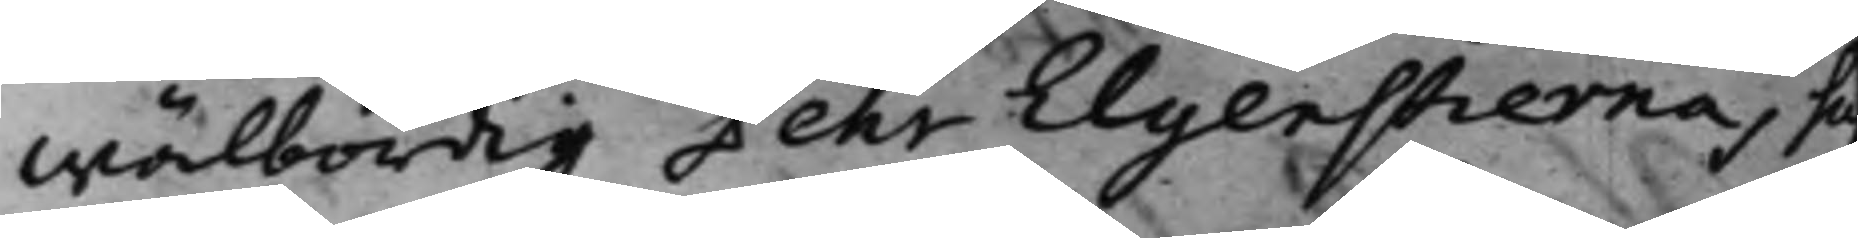wälbördig Pehr Elgenstiernas Su¬
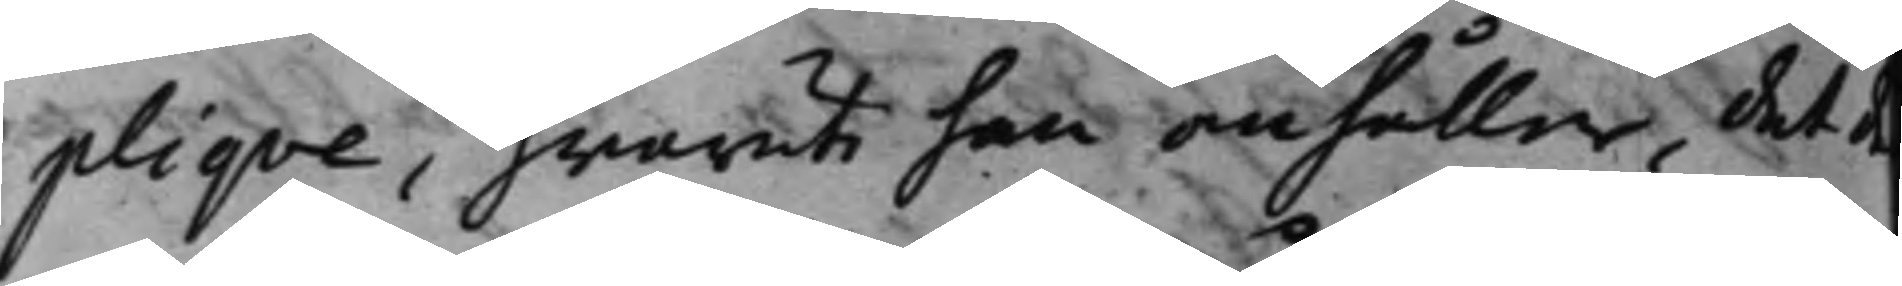pliqve, hwaruti han anhåller, det d
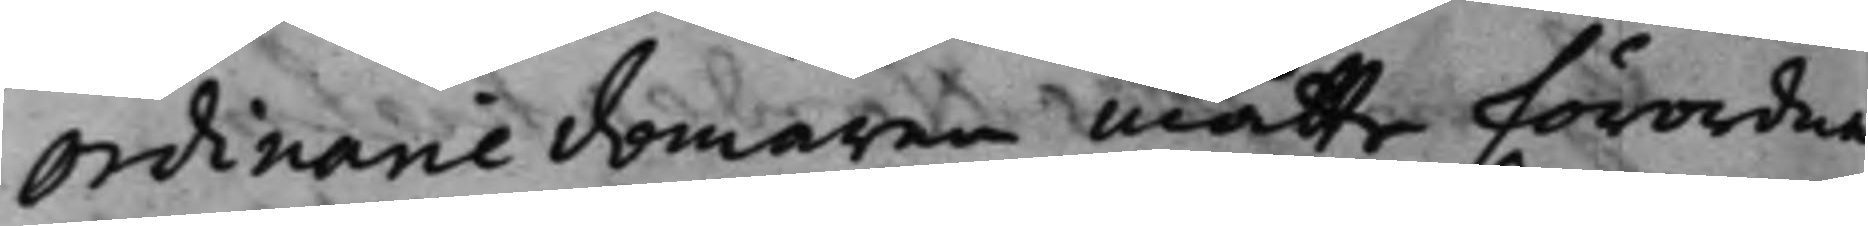Ordinarie domaren måtte förordna
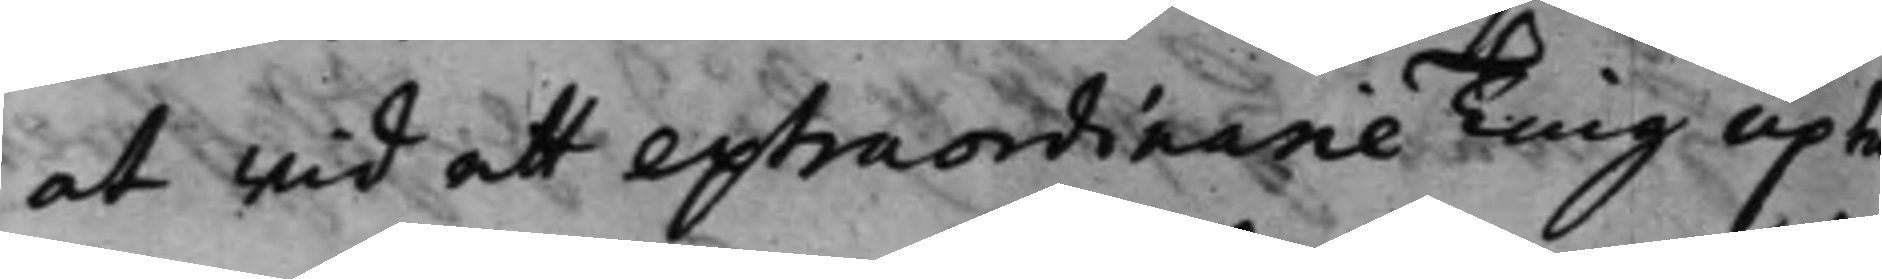at wid ett extraordinarie Ting upta¬
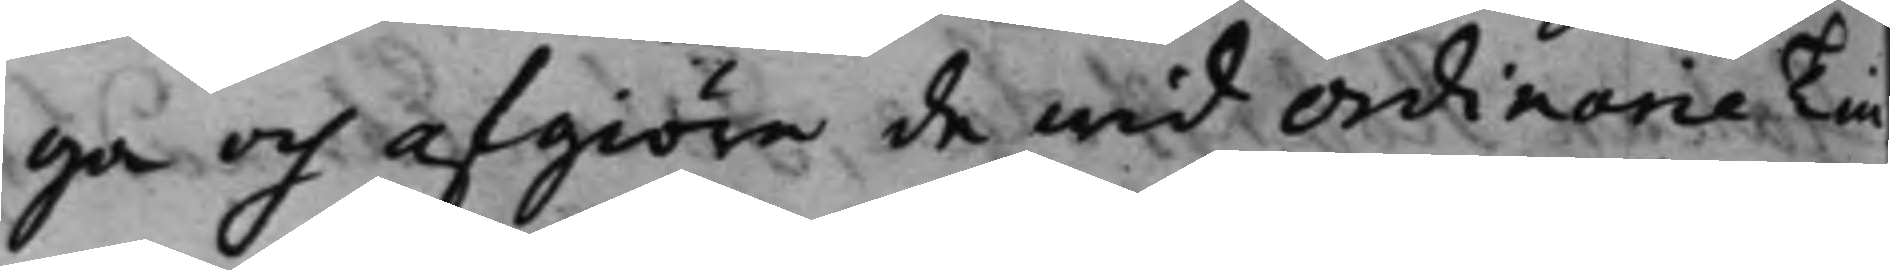ga och afgiöra de wid Ordinarie Tin¬
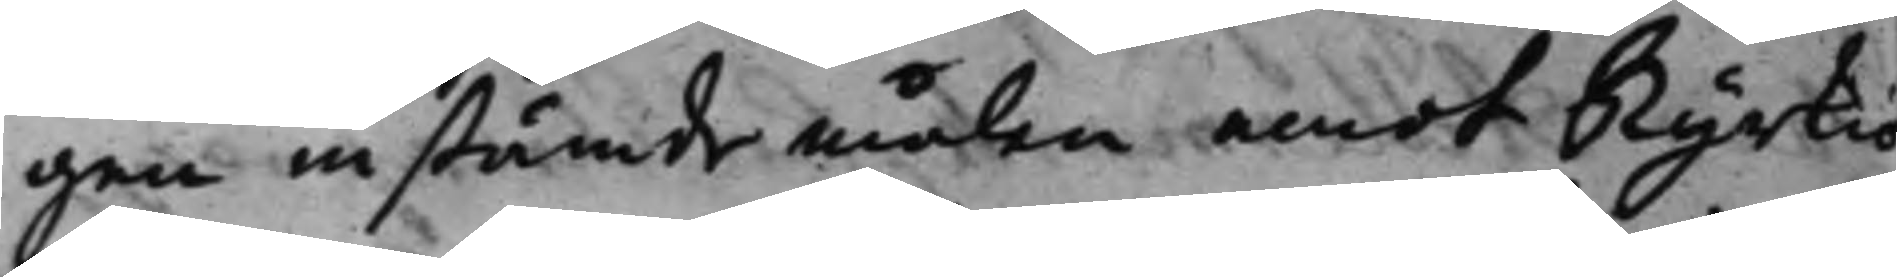gen instämde målen emot Kyrkio¬
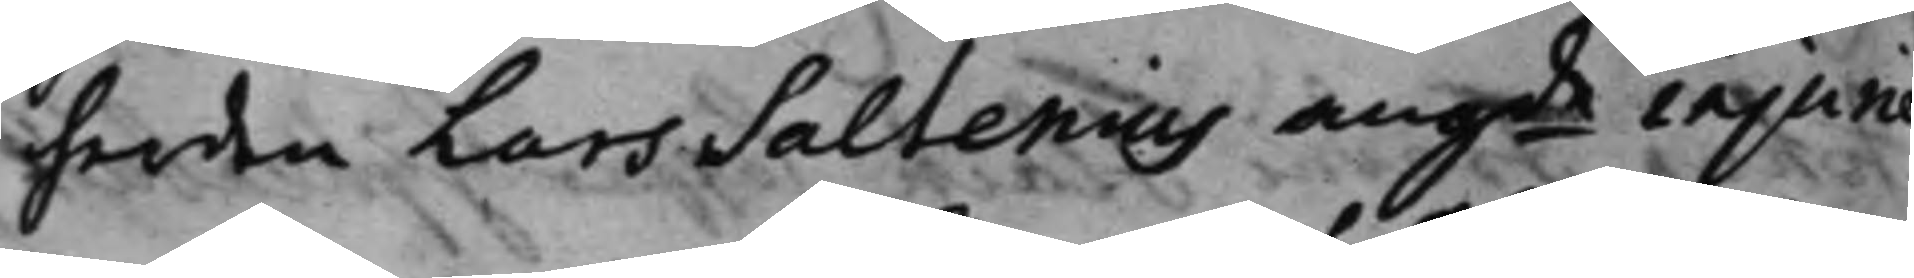herden Lars Saltenius angde injurie
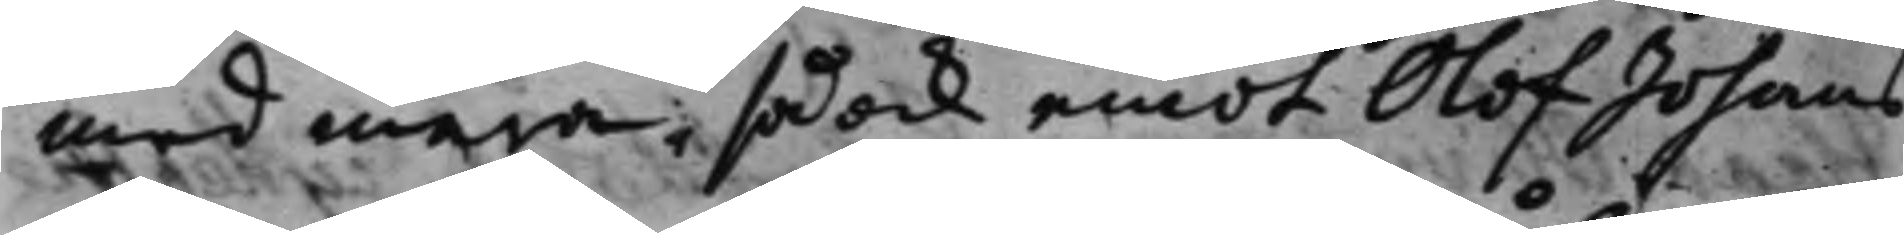med mera, så ock emot Olof Johans¬
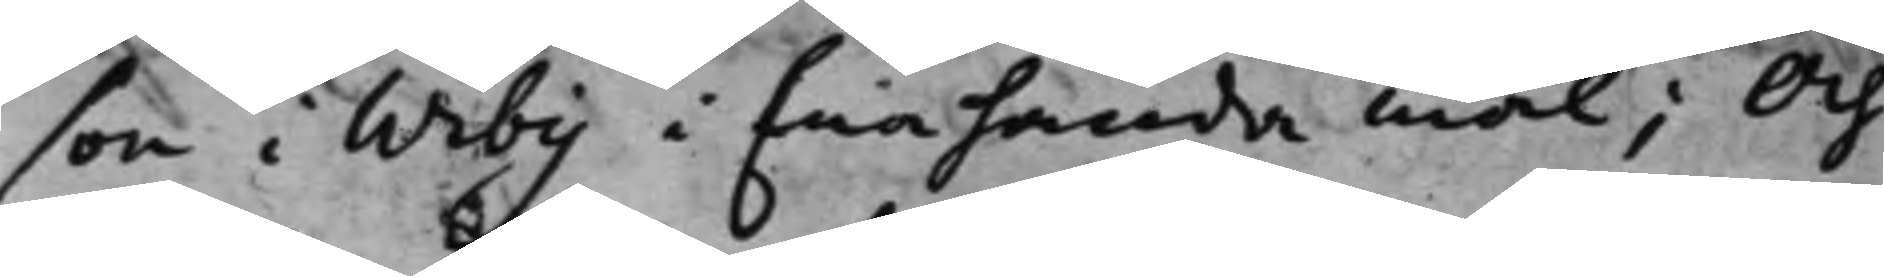son i Wiby i Enahanda mål; Och
